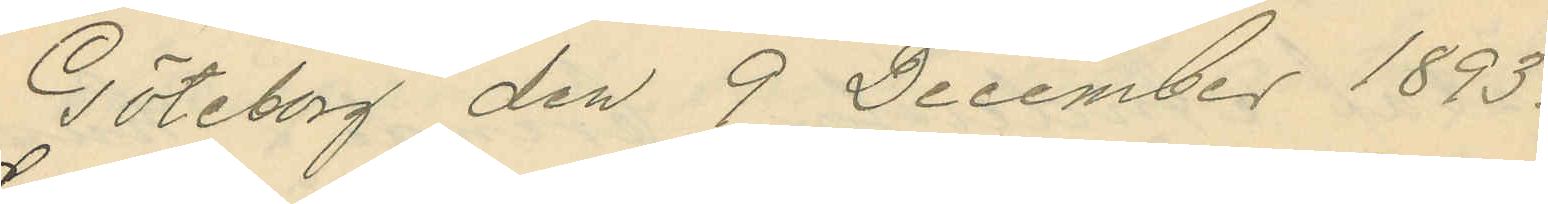Göteborg den 9 December 1893.
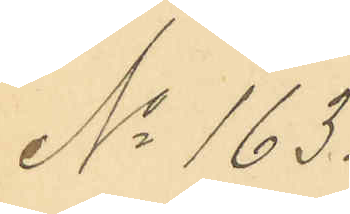No 163.
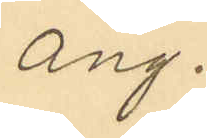ang.
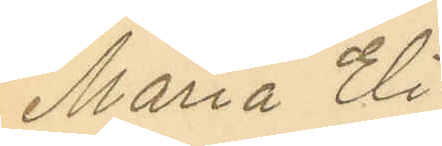Maria Eli¬
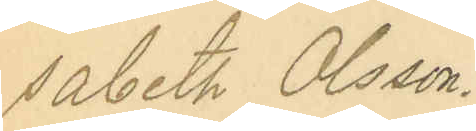sabeth Olsson.
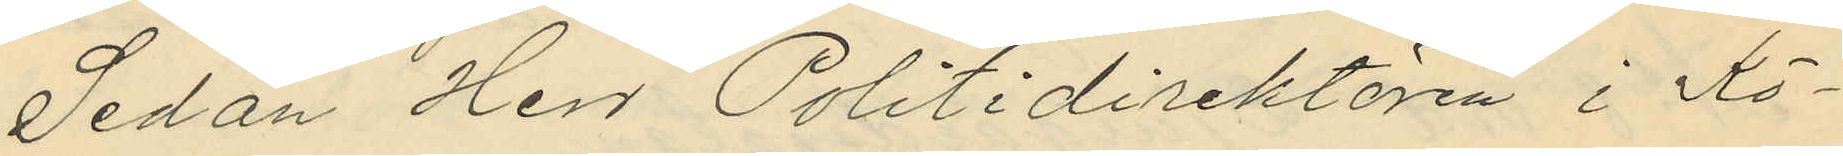Sedan Herr Politidirektören i Kö¬
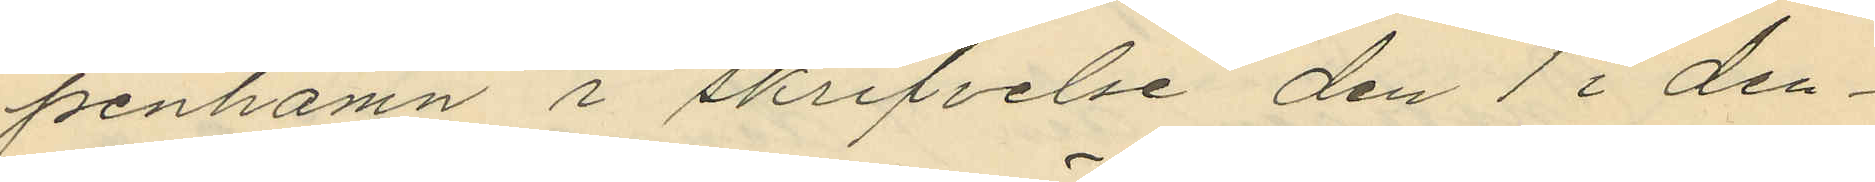penhamn i skrifvelse den 1 i den¬
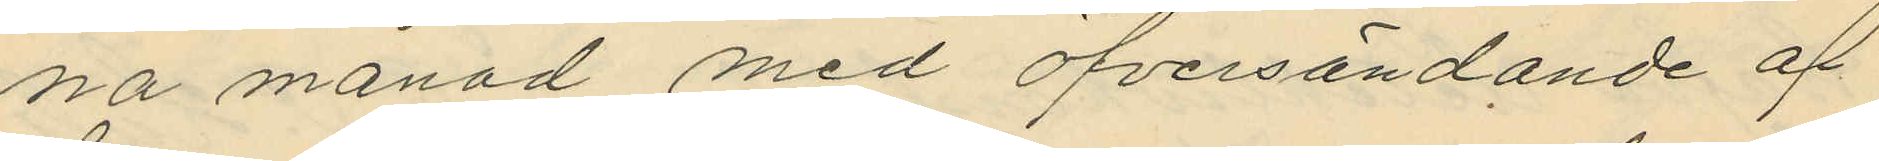na månad med öfversändande af
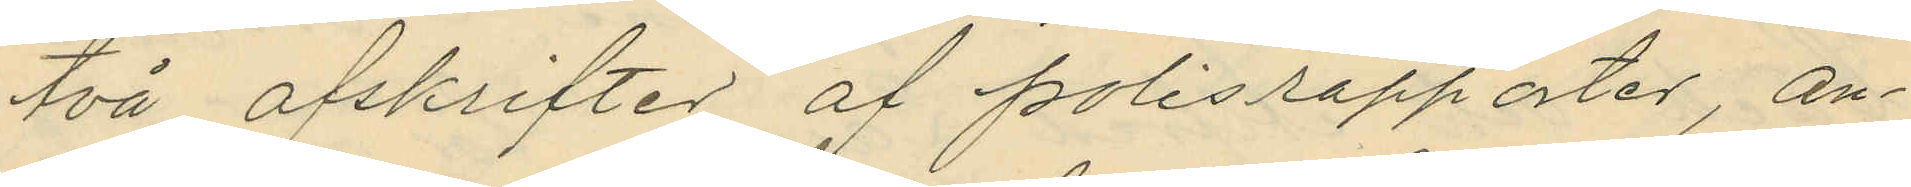två afskrifter af polisrapporter, an¬
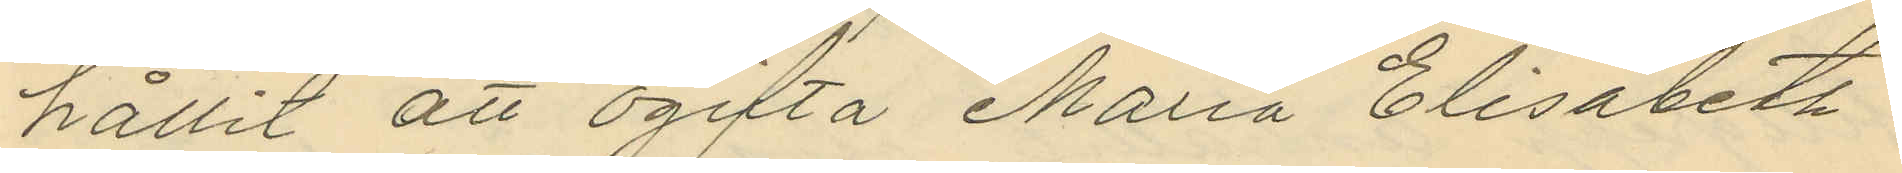hållit att ogifta Maria Elisabeth
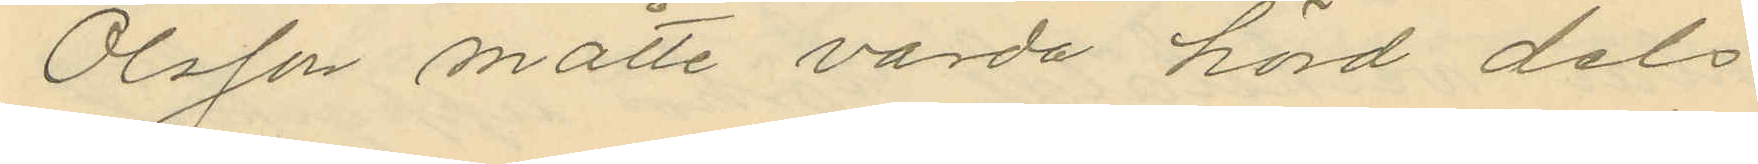Olsson måtte varda hörd dels
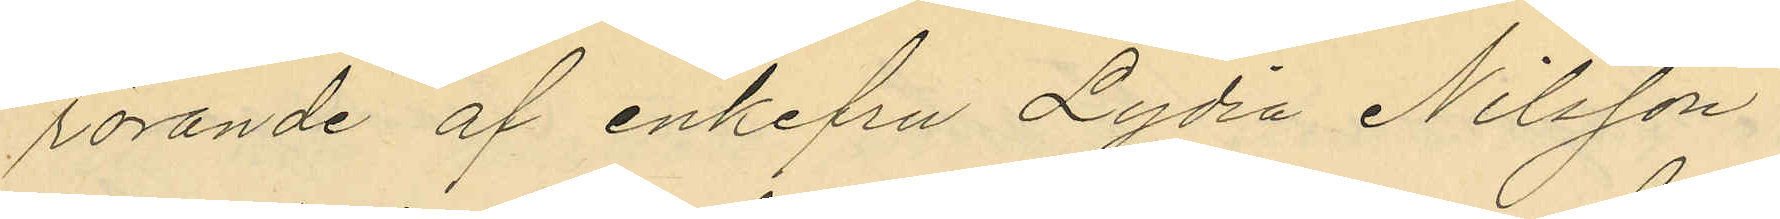rörande af enkefru Lydia Nilsson
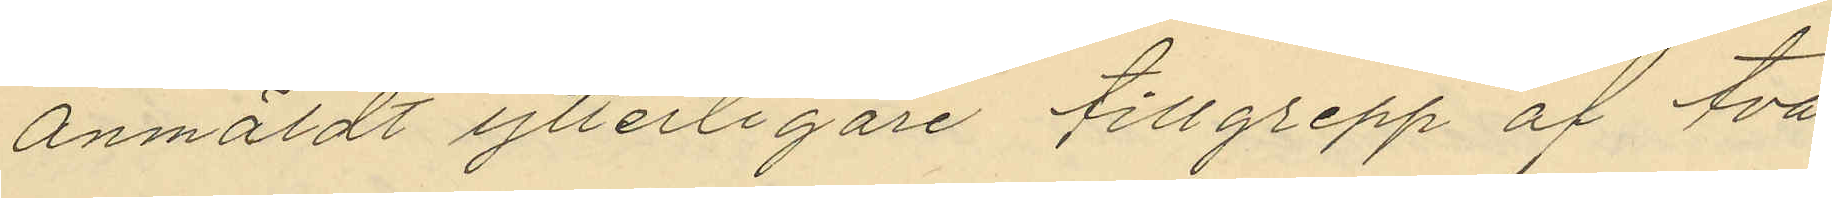anmäldt ytterligare tillgrepp af två
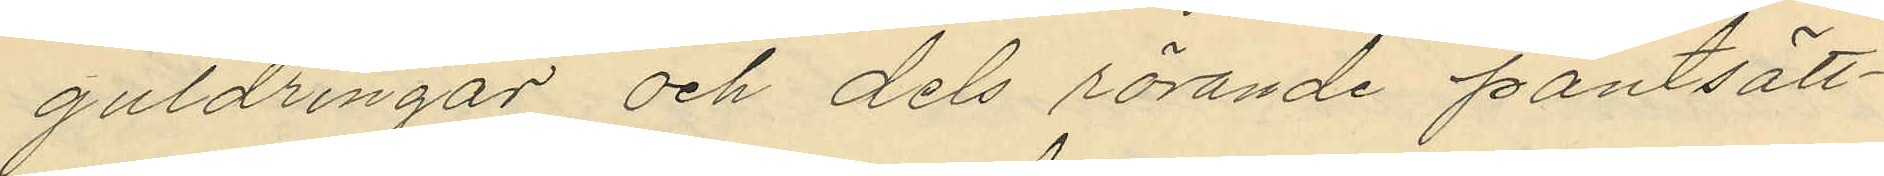guldringar och dels rörande pantsätt¬
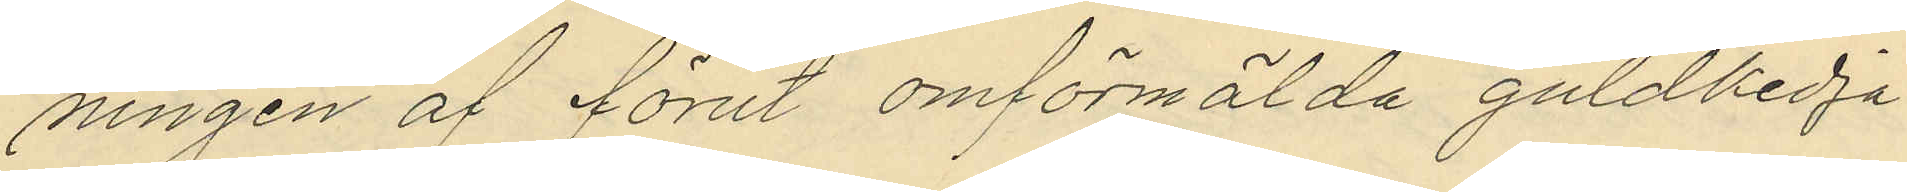ningen af förut omförmälda guldkedja
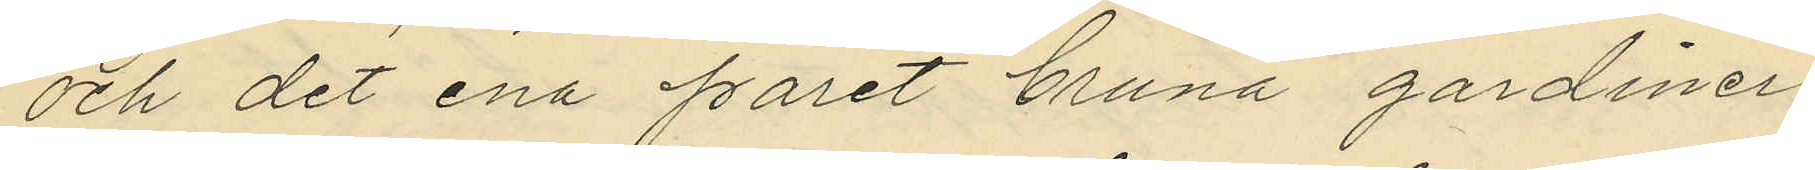och det ena paret bruna gardiner
